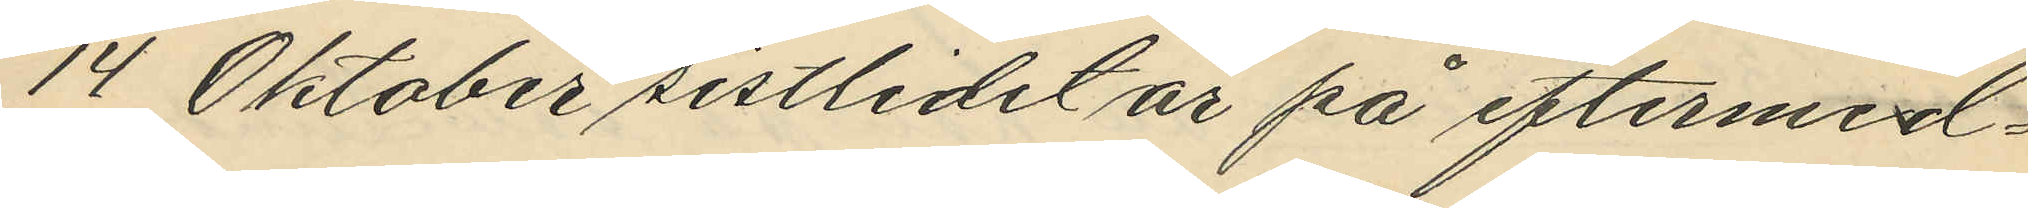14 Oktober sistlidet år på eftermid¬
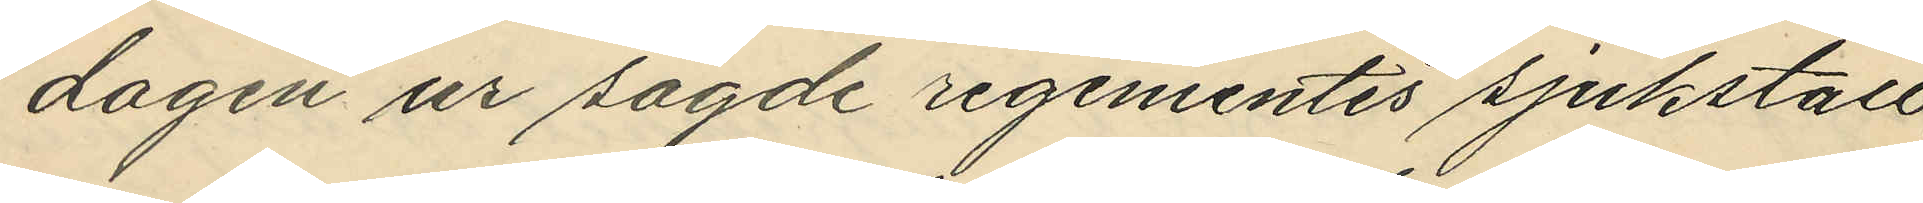dagen ur sagde regementes sjukstall,
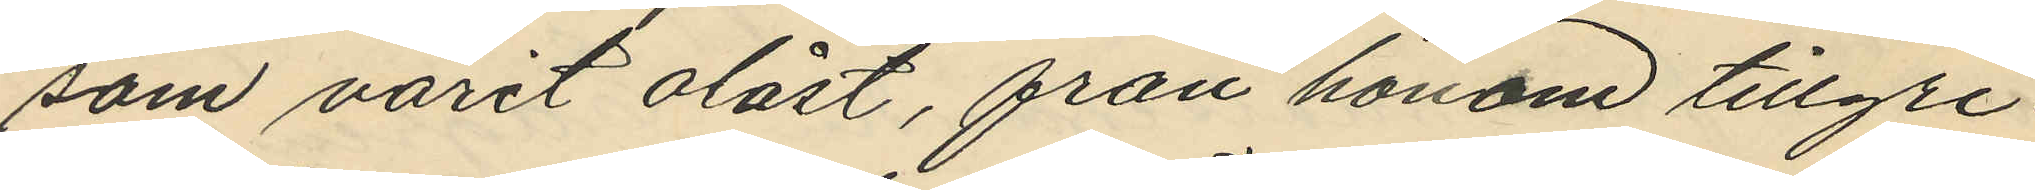som varit olåst, från honom tillgri¬
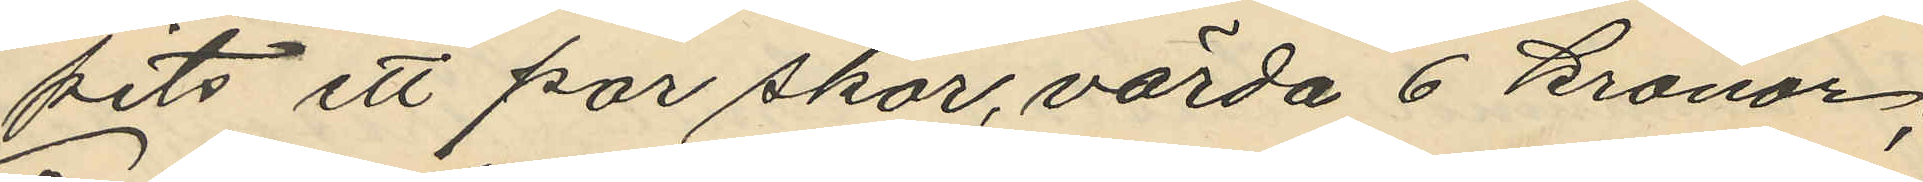pits ett par skor, värda 6 kronor;
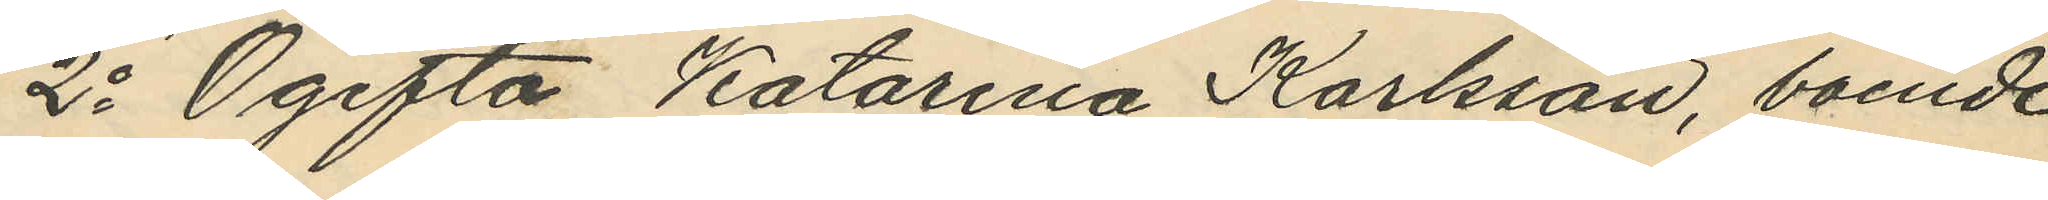2o Ogifta Katarina Karlsson, boende
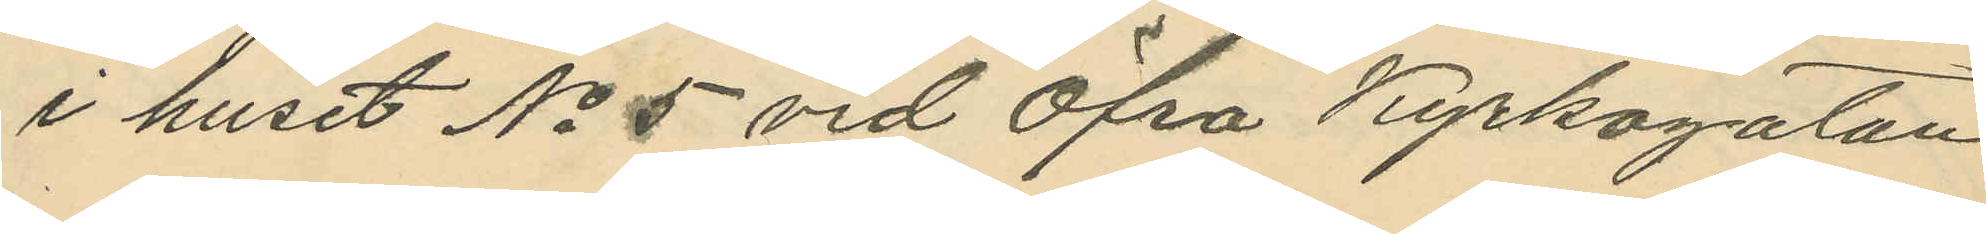i huset No 5 vid Öfra Kyrkogatan
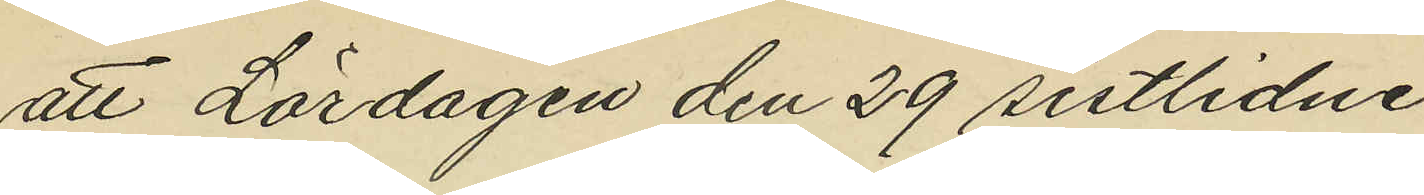att Lördagen den 29 sistlidne
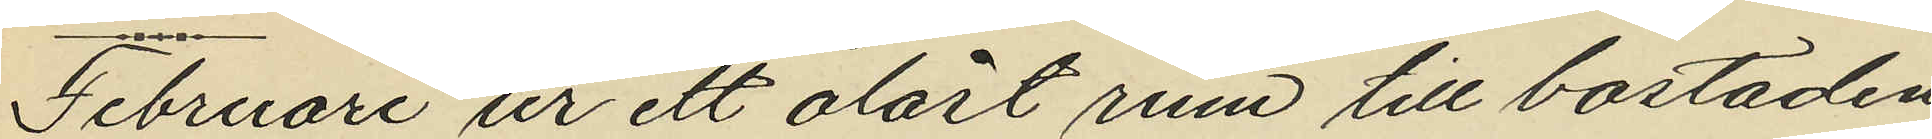Februari ur ett olåst rum till bostaden
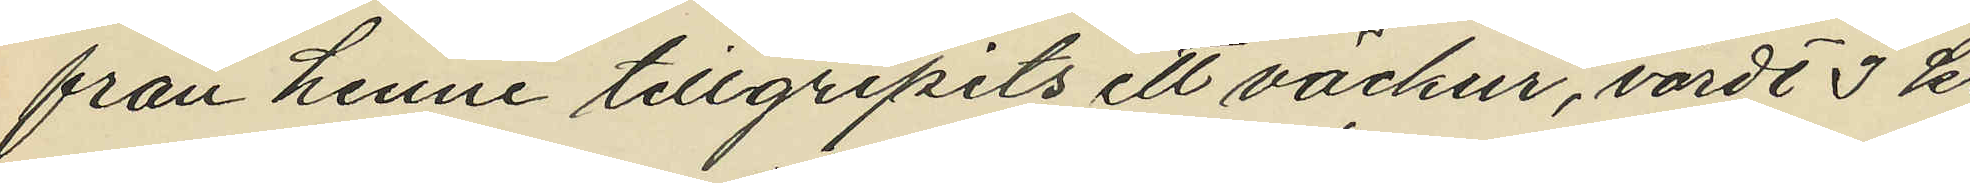från henne tillgripits ett väckur, värde 3 kr
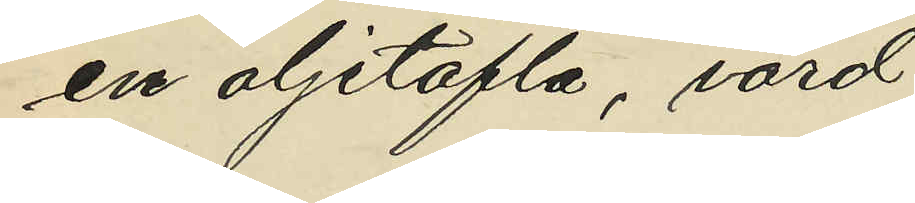en oljetafla, värd
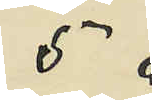5 "
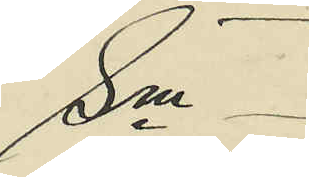Sm
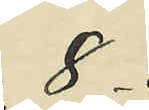8 "
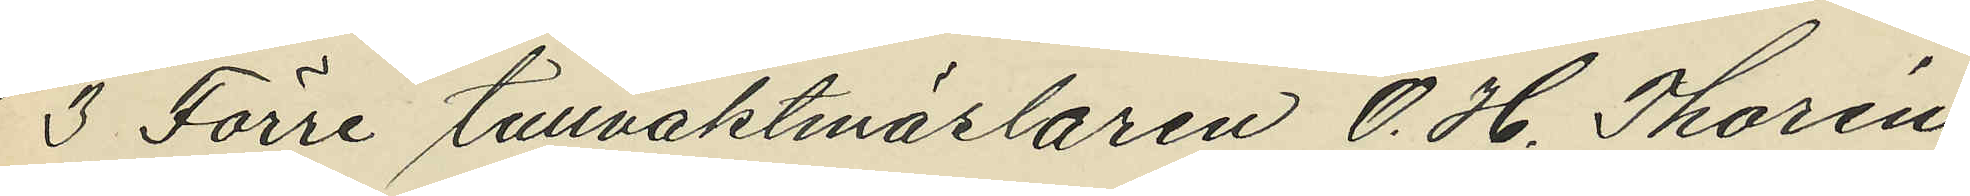3 Förre tullvaktmäslaren O. H. Thorén,
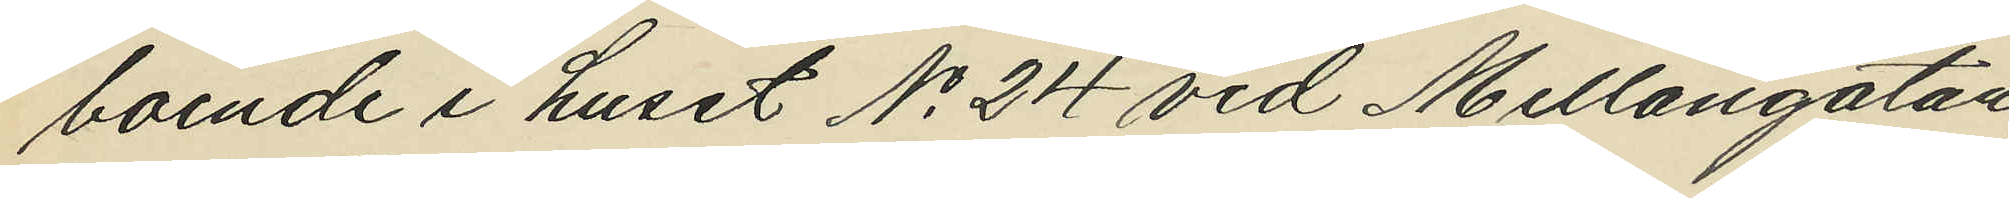boende i huset No 24 vid Mellangatan,
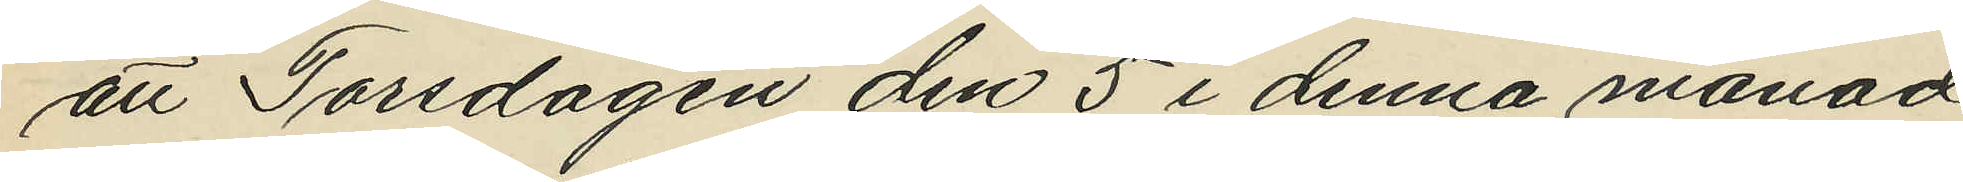att Torsdagen den 5 i denna månad 
